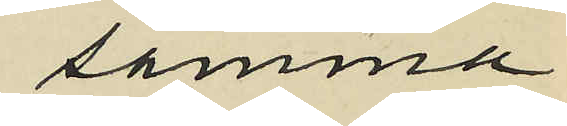samma
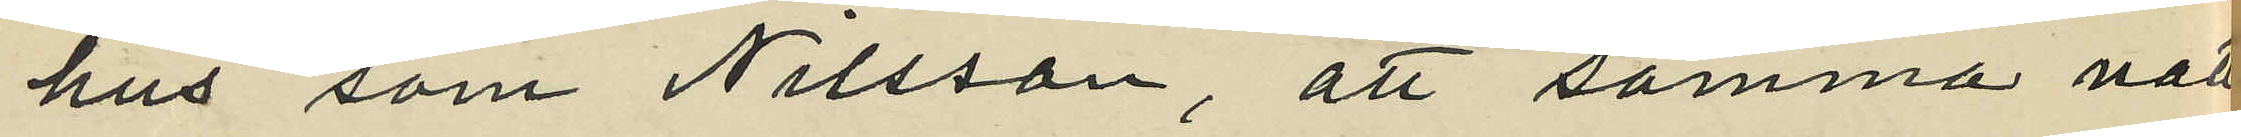hus som Nilsson, att samma natt
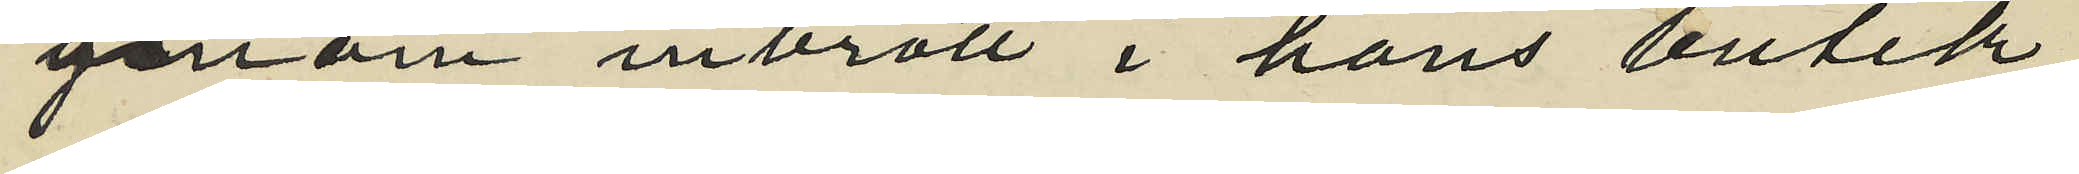genom inbrott i hans butik,
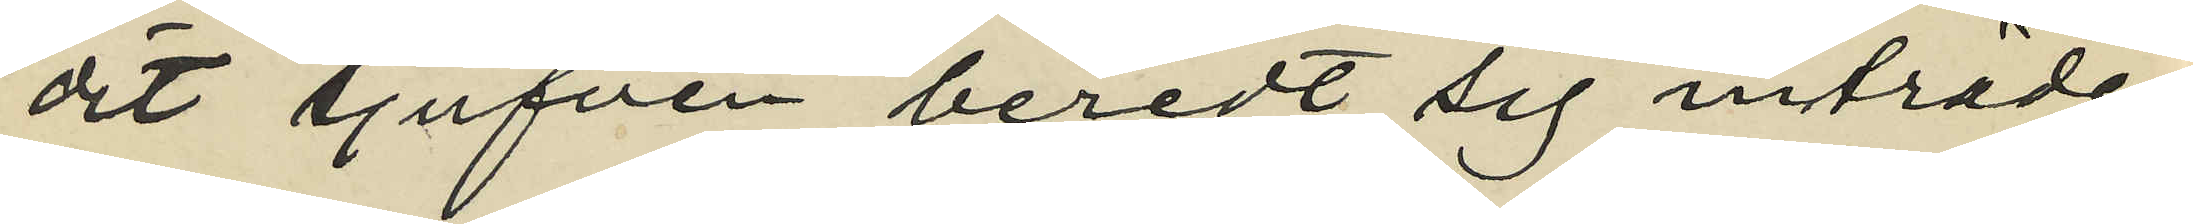dit tjufven beredt sig inträde
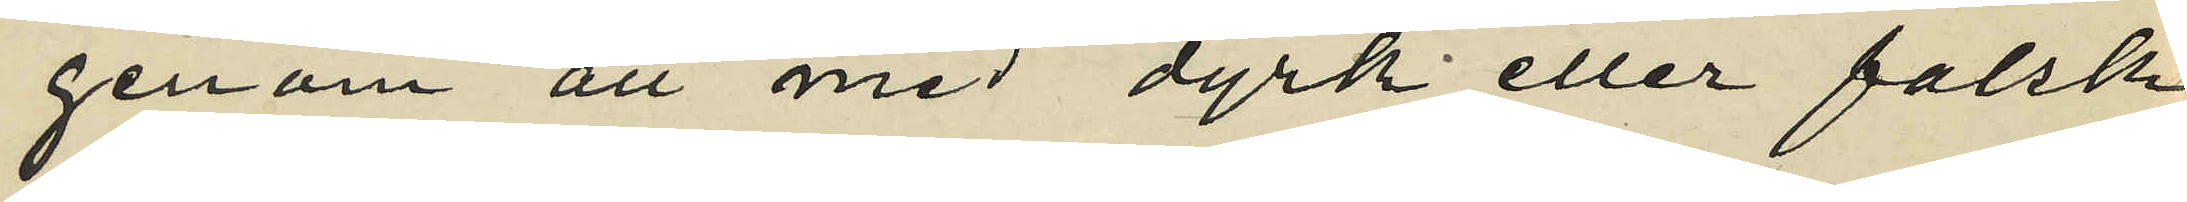genom att med dyrk eller falsk
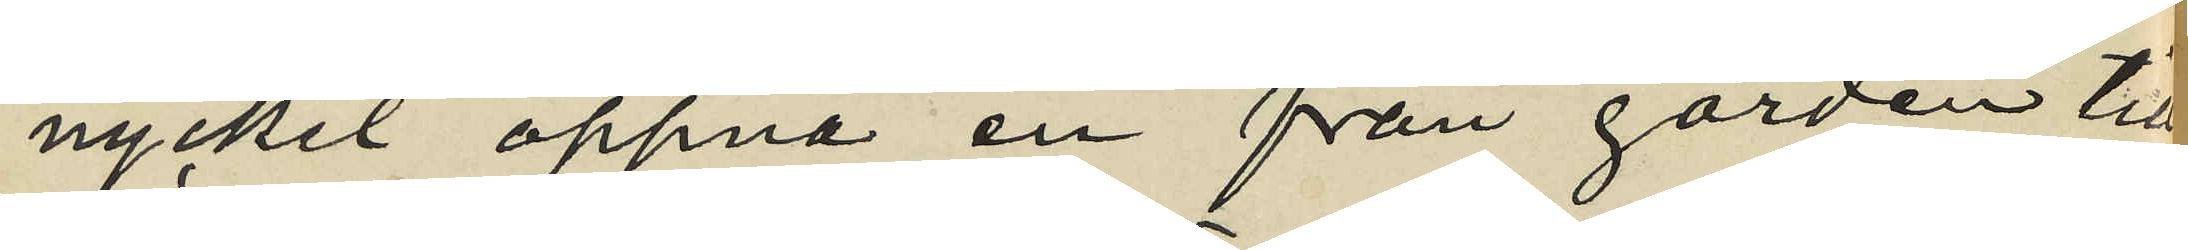nyckel öppna en från gården till
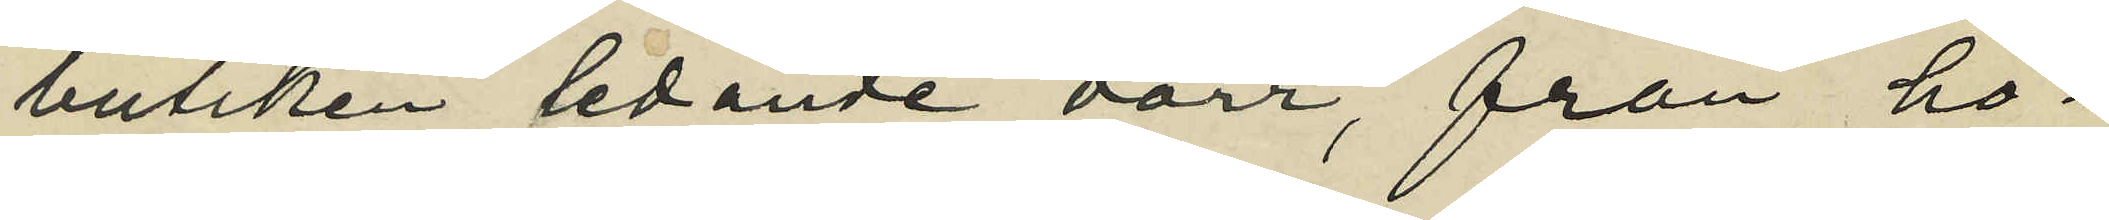butiken ledande dörr, från ho¬
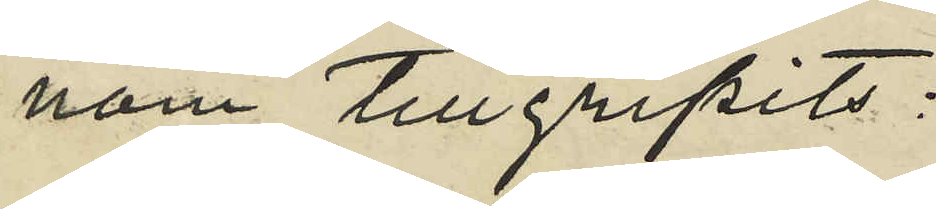nom tillgripits:
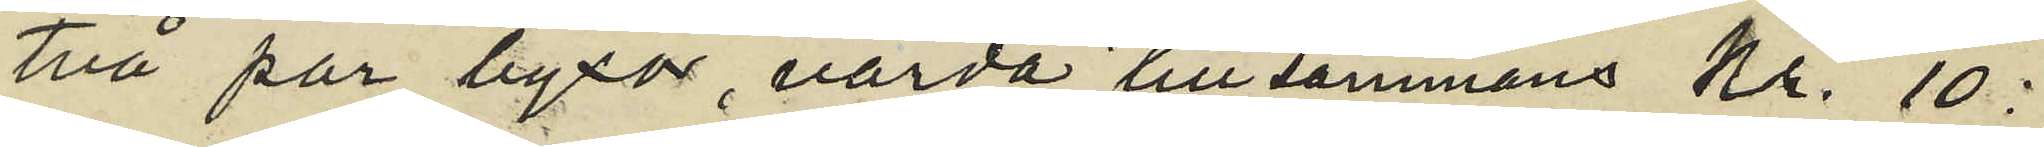två par byxor, värda tillsammans Kr. 10:
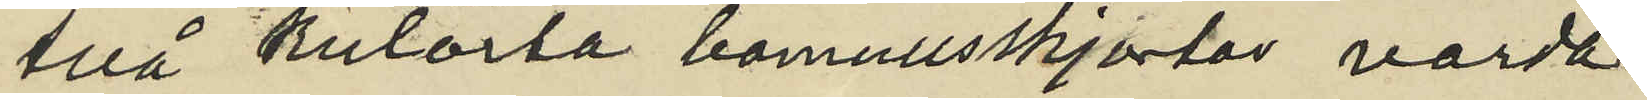två kulörta bomullsskjortor, värda
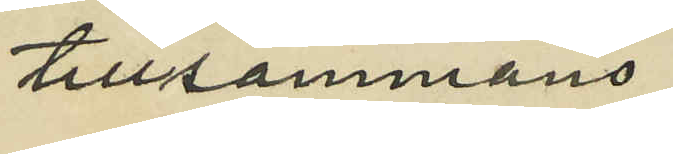tillsammans
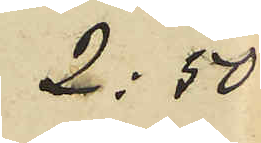2:50
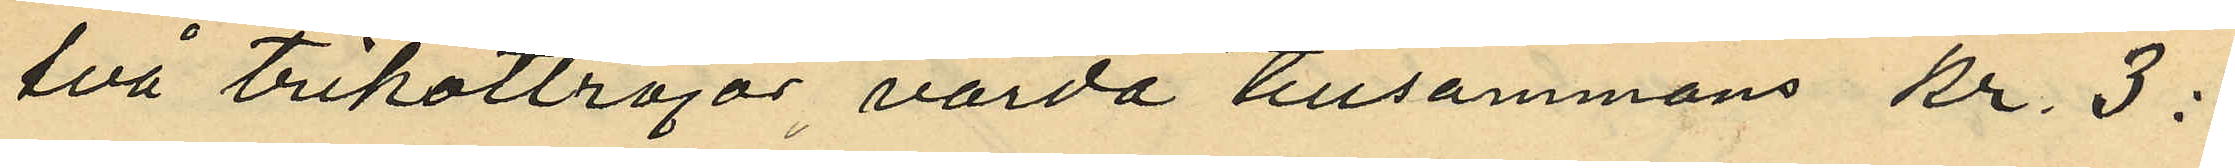två trikottröjor värda tillsammans kr. 3:
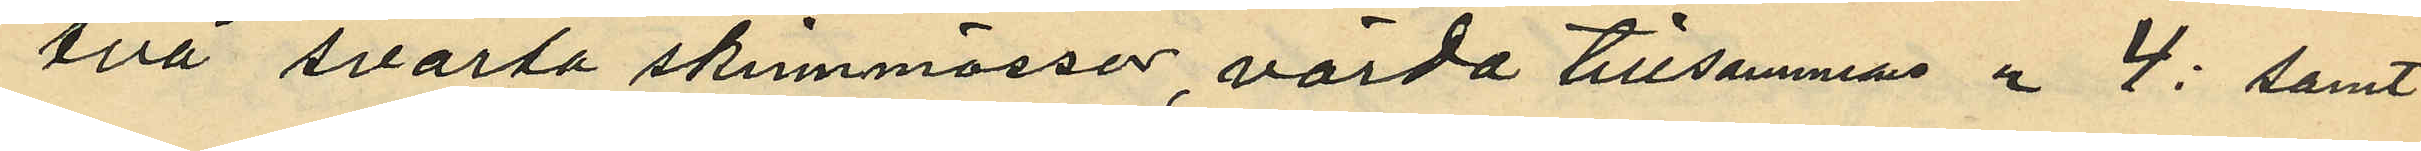två svarta skinnmössor, värda tillsammas " 4: samt
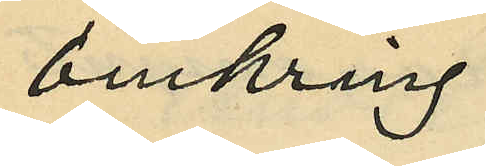omkring
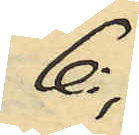6:,
